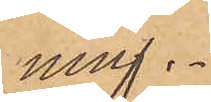ning.
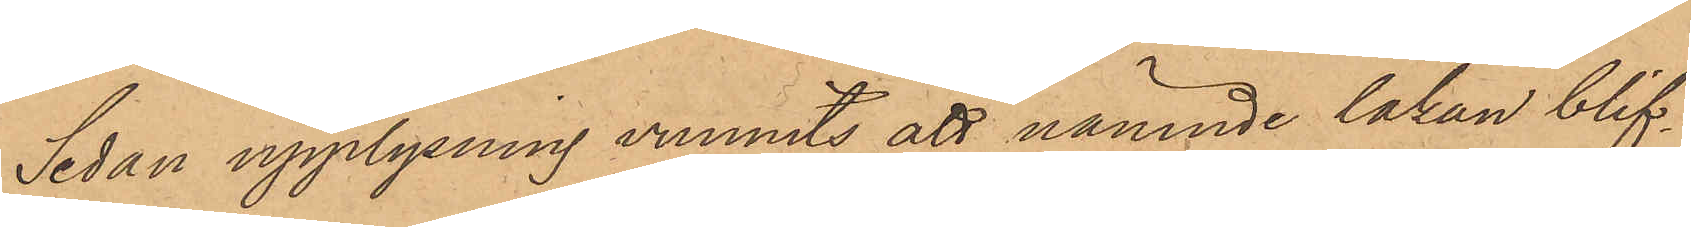Sedan upplysning vunnits att nämnde lakan blif¬
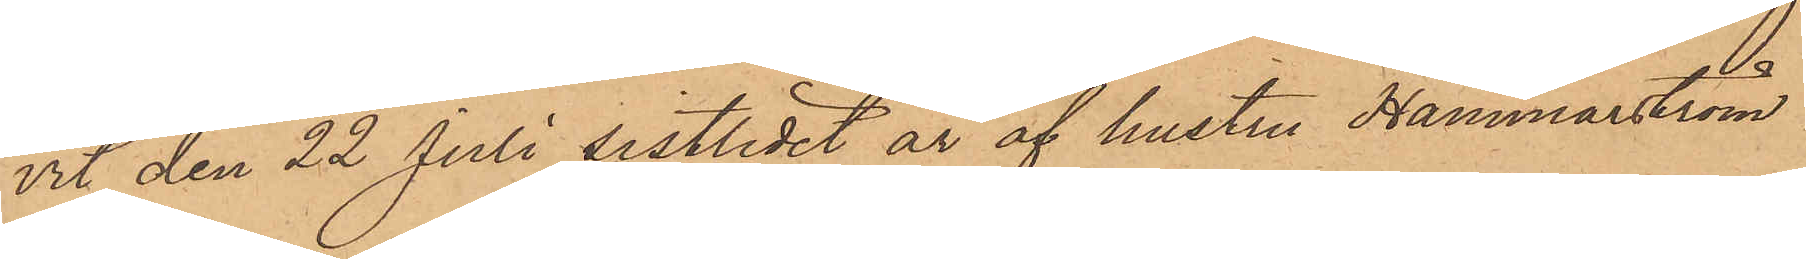vit den 22 Juli sistlidet år af hustru Hammarström
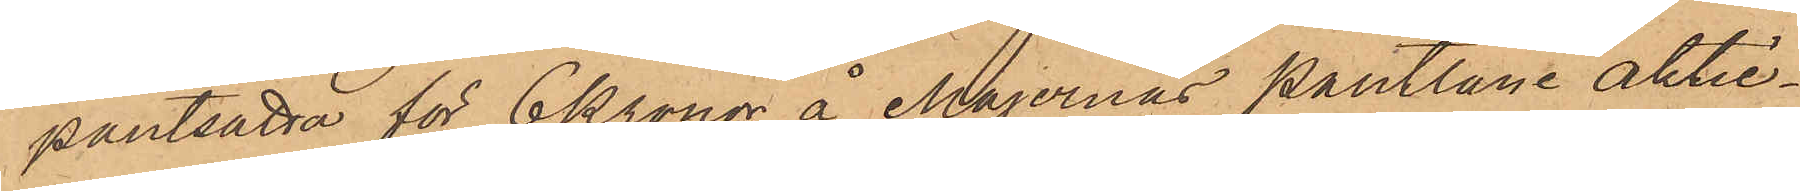pantsatta för 6 Kronor å Majornas pantlåne aktie¬
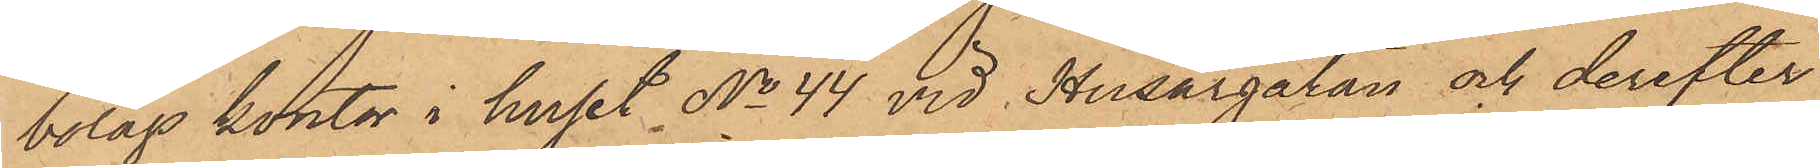bolags kontor i huset No 44 vid Husargatan och derefter
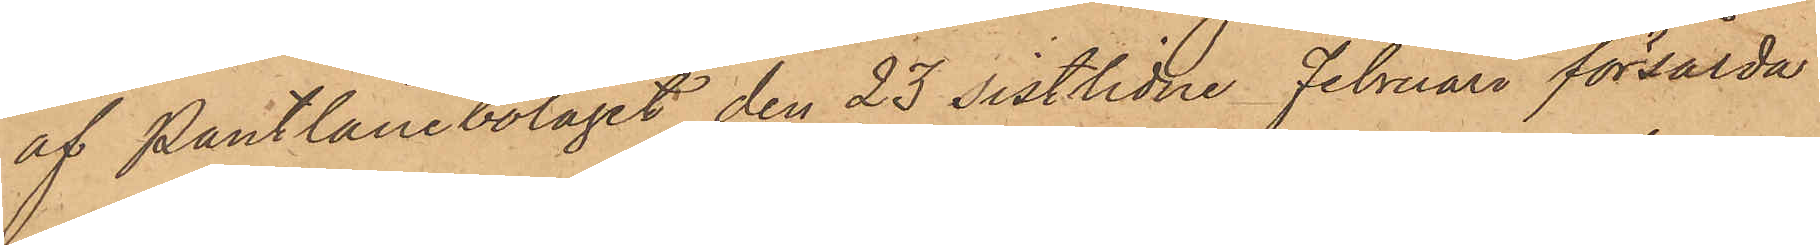af Pantlånebolaget den 23 sistlidne Februari försålda
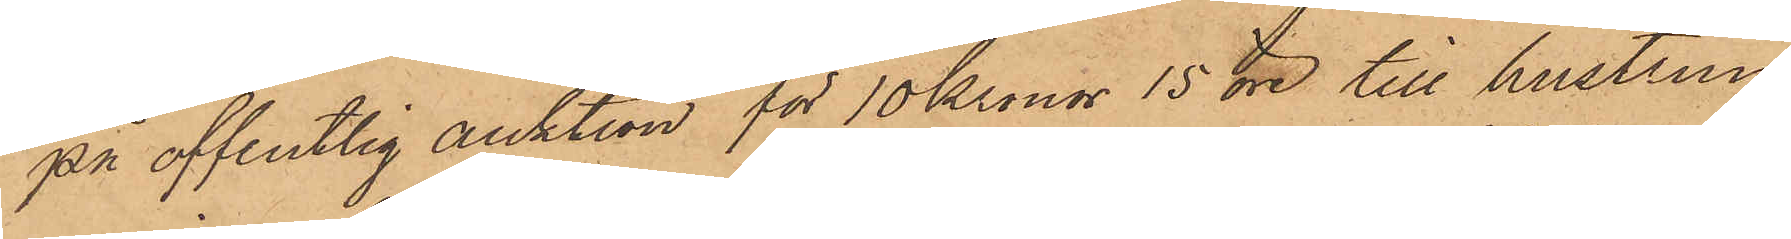på offentlig auktion för 10 Kronor 15 öre till hustrun
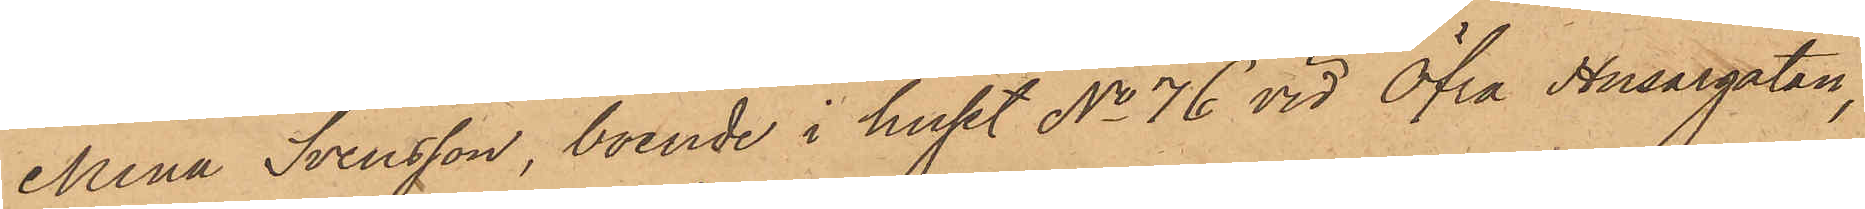Mina Svensson, boende i huset No 76 vid Öfra Husargatan,
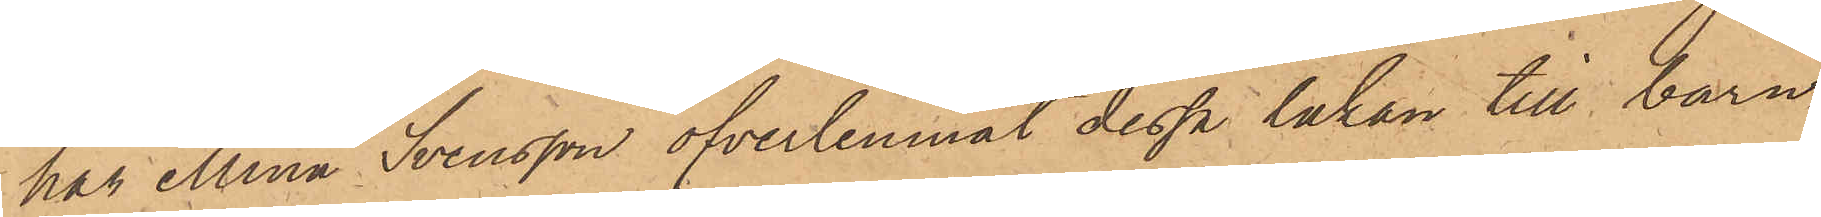har Mina Svensson öfverlemnat dessa lakan till barn¬
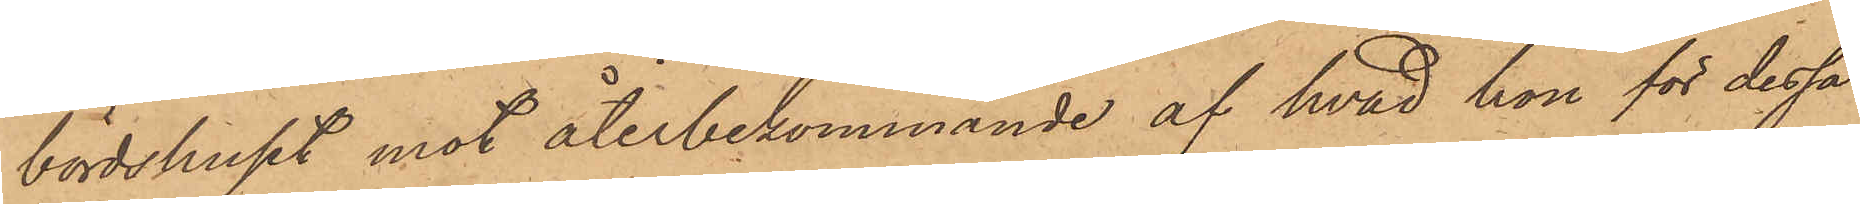bördshuset mot återbekommande af hvad hon för dessa
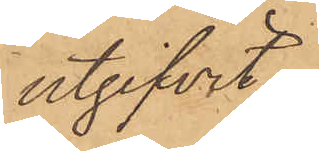utgifvit.
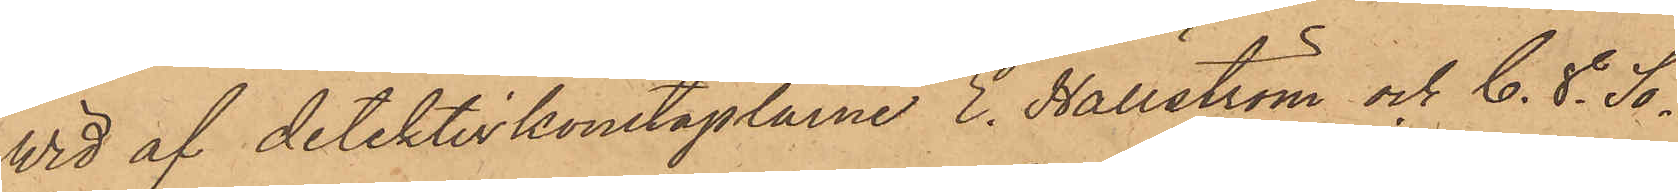Wid af detektivkonstaplarne E. Hällström och C. V. Sö¬
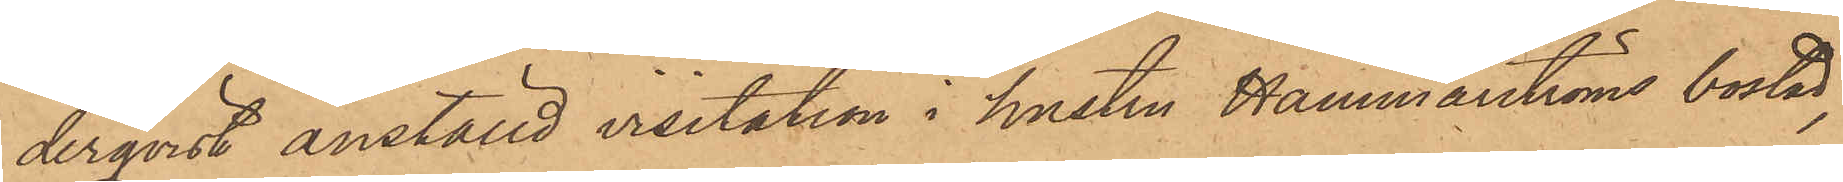derqvist anställd visitation i hustru Hammarströms bostad,
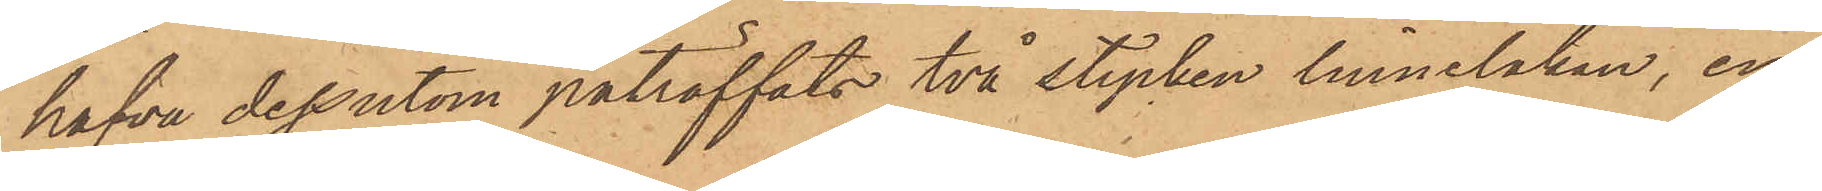hafva dessutom påträffats två stycken linnelakan, en
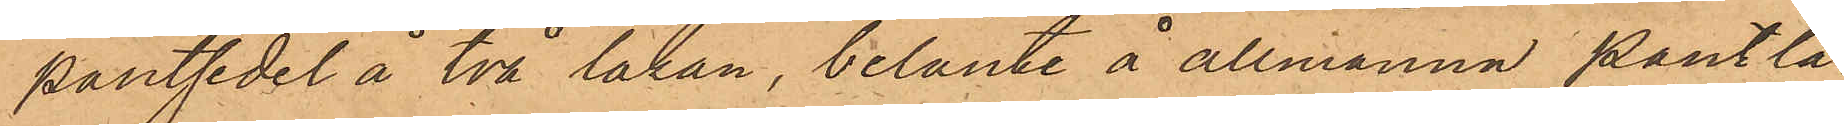pantsedel å två lakan, belånte å allmänna Pantlå¬
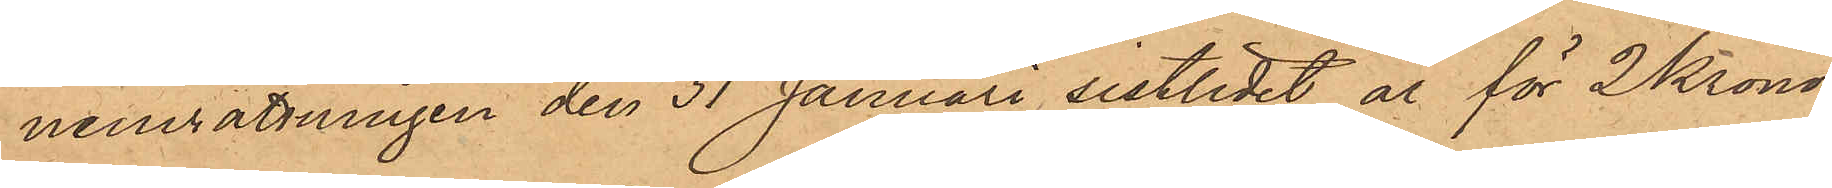neinrättningen den 31 Januari sistlidet år för 2 Kronor,
